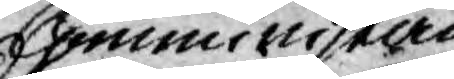Comministern
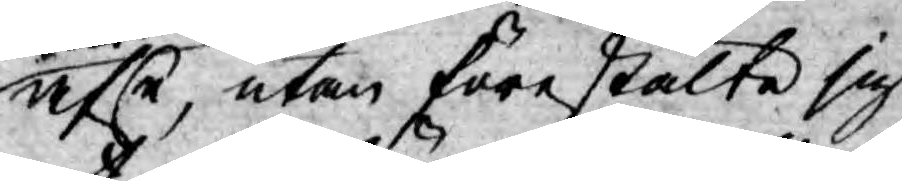afse, utan förestälte sig
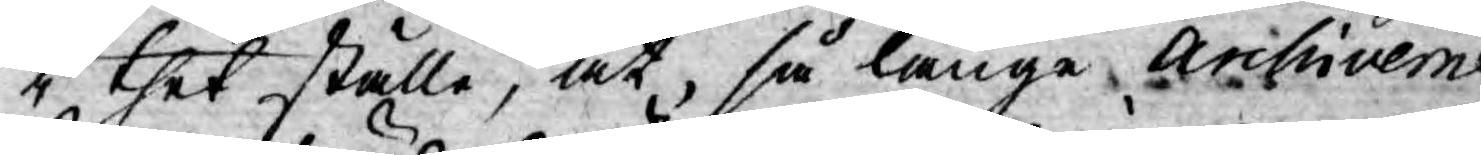i thet ställe, at, så länge Archiverne
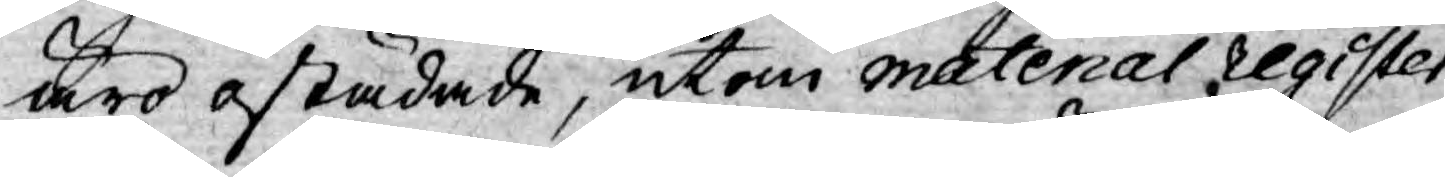äro ostädade, utom material register,
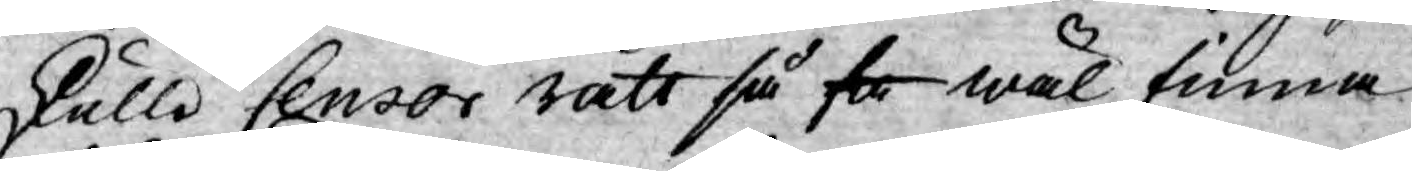skulle Censor rätt så få wäl finna
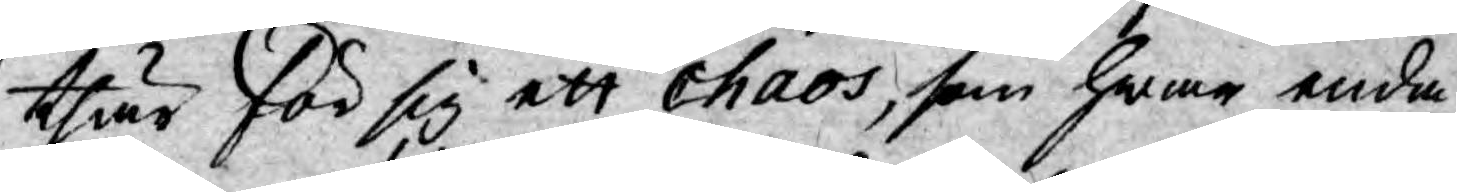thär för sig ett chaos, som hwar enda
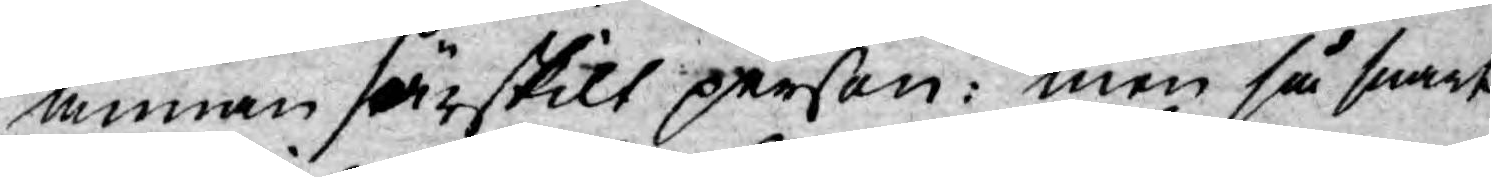annan särskilt person: men så snart
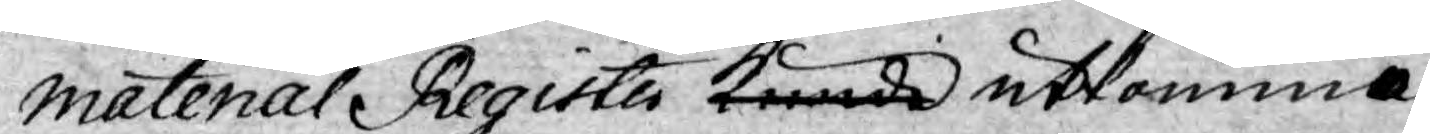Material Register kunde utkomma,
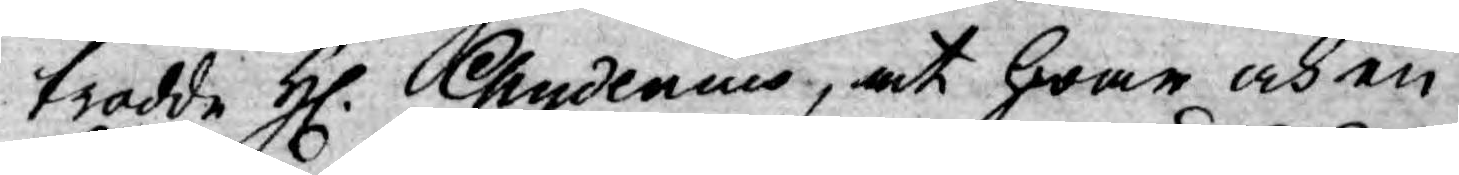trodde H. Chydenius, at hwar och en
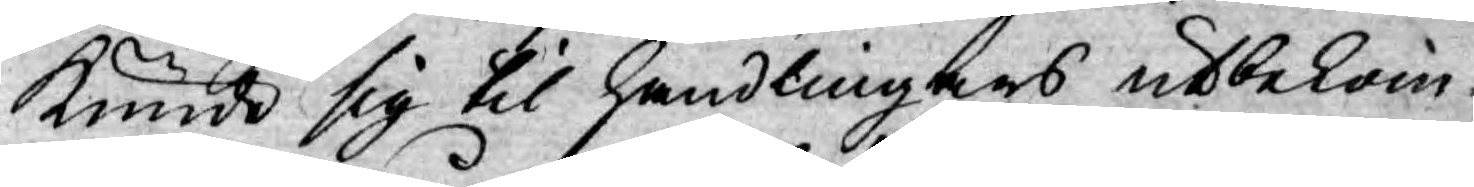kunde sig til handlingars utbekom¬
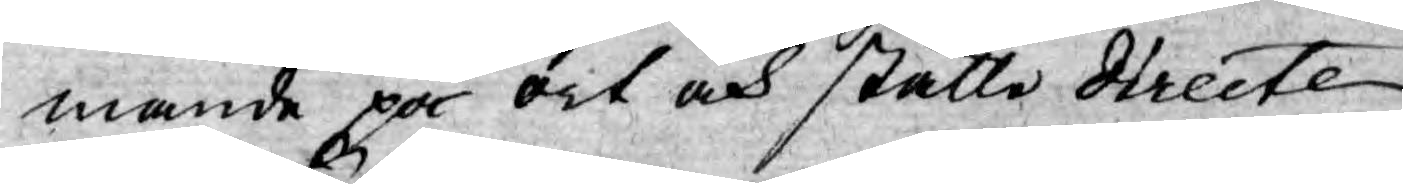mande på ort och ställe directe
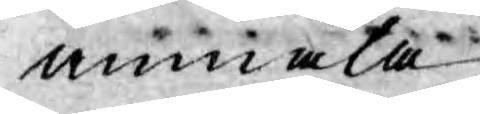anmäla.
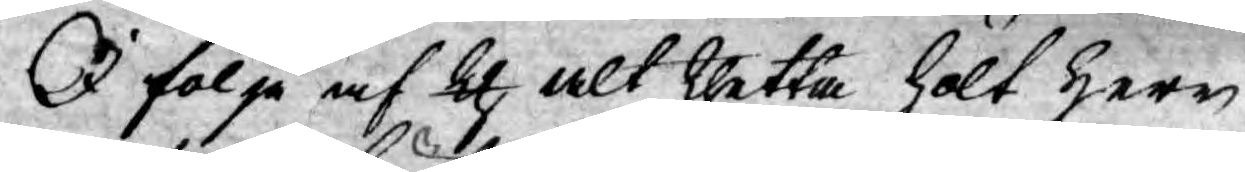I följe af th alt thetta hölt herr
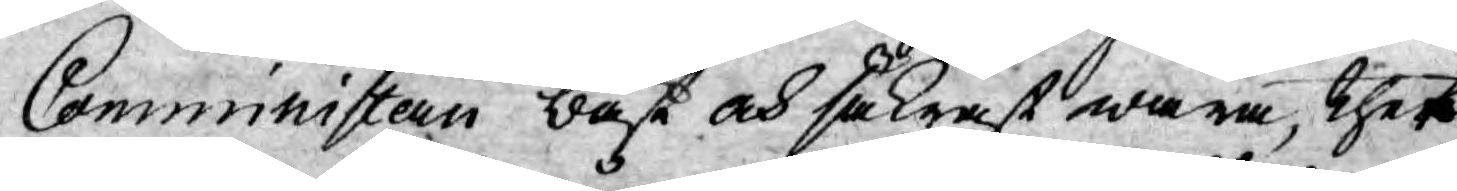Comministern bäst och säkrast wara, thet
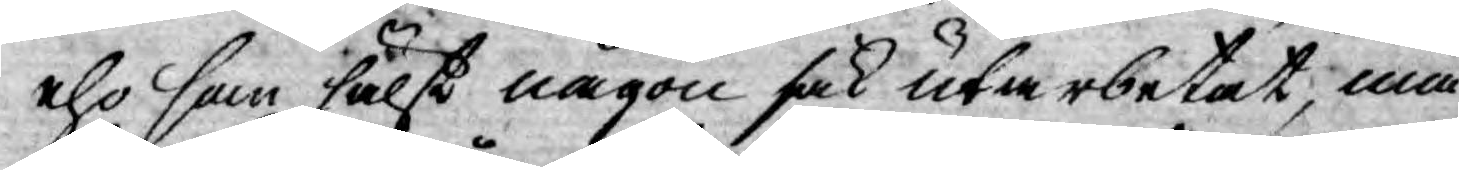eho som hälst någon sak utarbetat, må
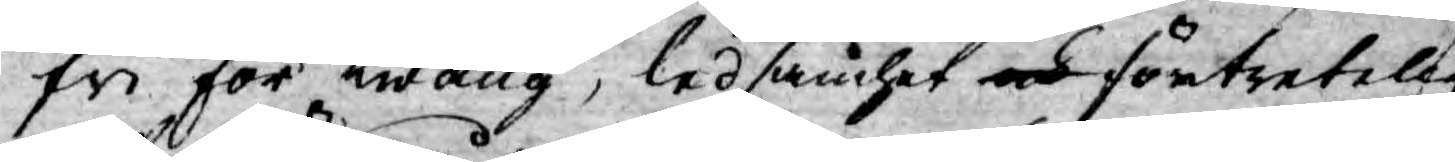fri för twång, ledsamhet och förtretelig¬
